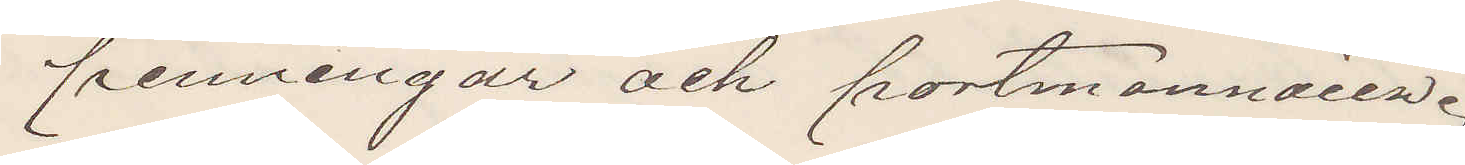penningar och portmonnaien.
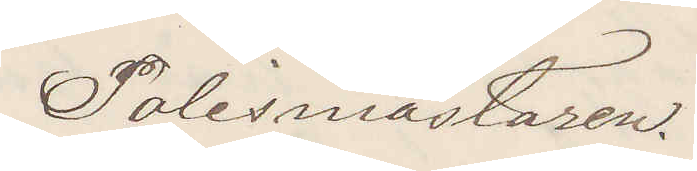Polismästaren.
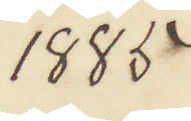1885
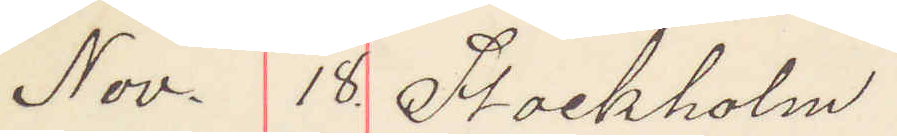Nov. 18 Stockholm
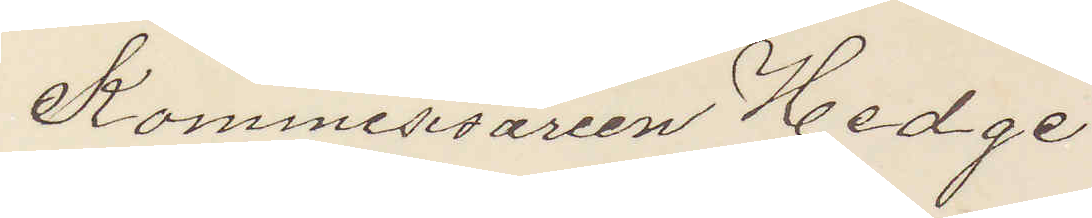Kommissiarien Hedge
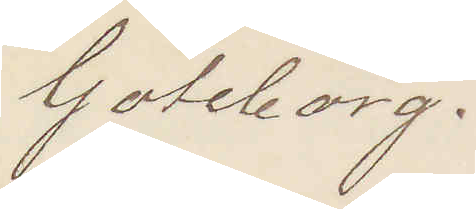Göteborg.
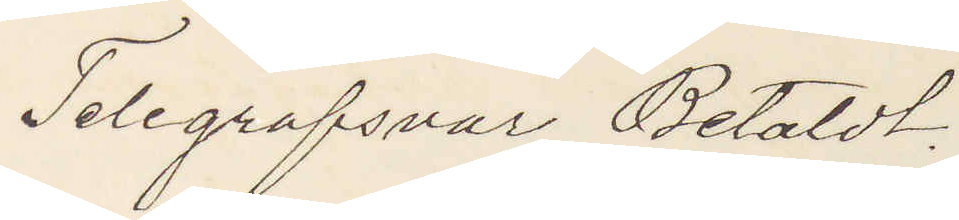Telegrafsvar Betaldt,
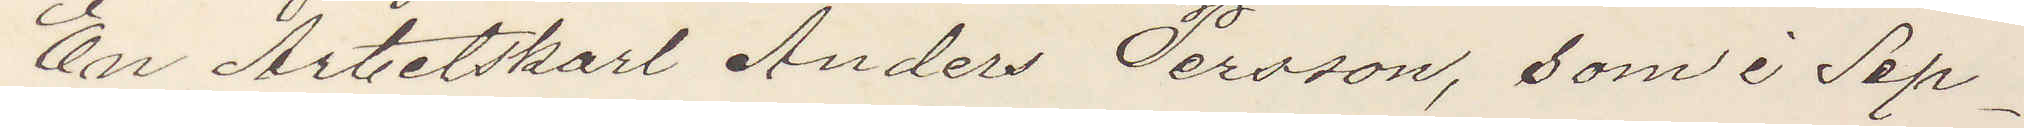En Arbetskarl Anders Persson, som i Sep¬
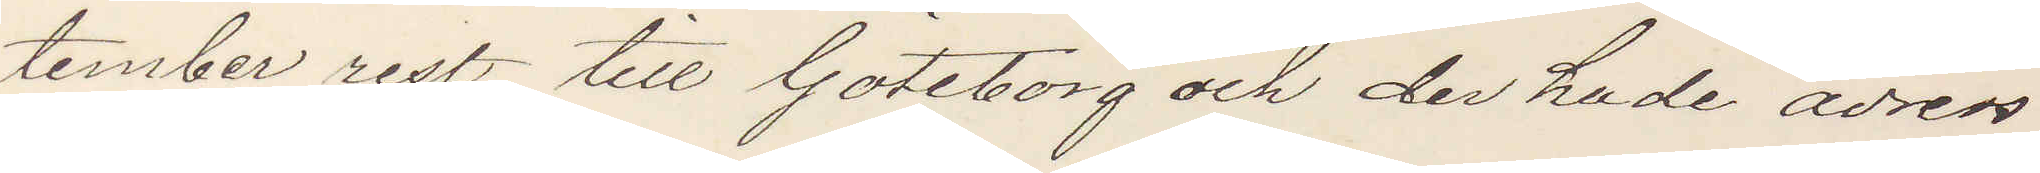tember rest till Göteborg och der hade adress
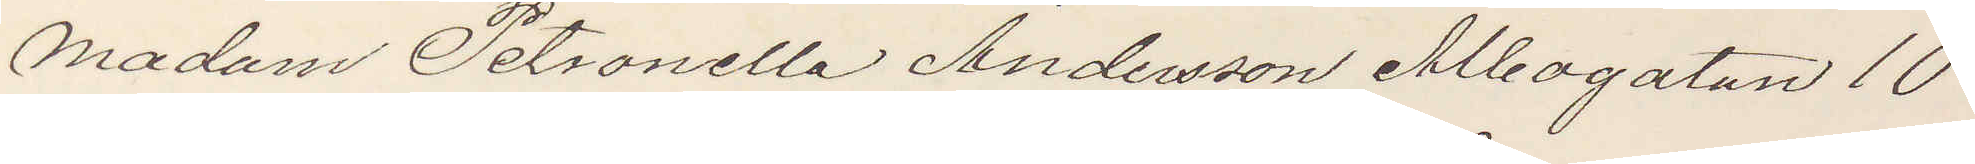Madam Petronella Andersson Albogatan 10
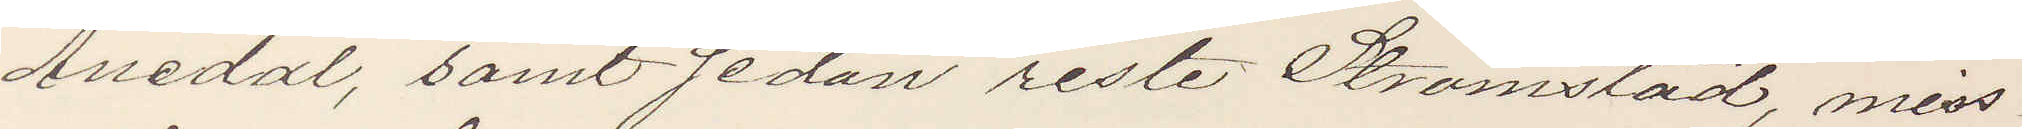Anedal, samt sedan reste Strömstad, miss¬
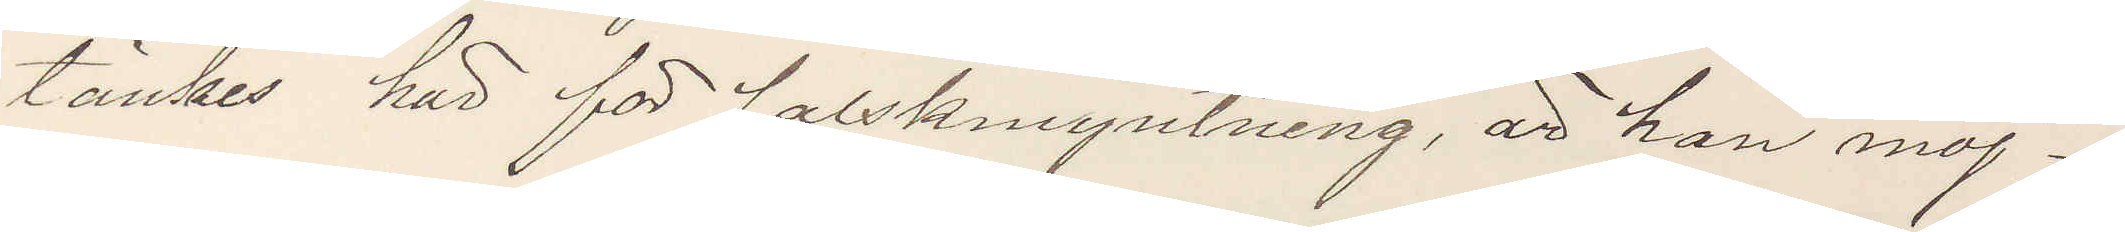tänkes här för falskmyntning, är han möj¬
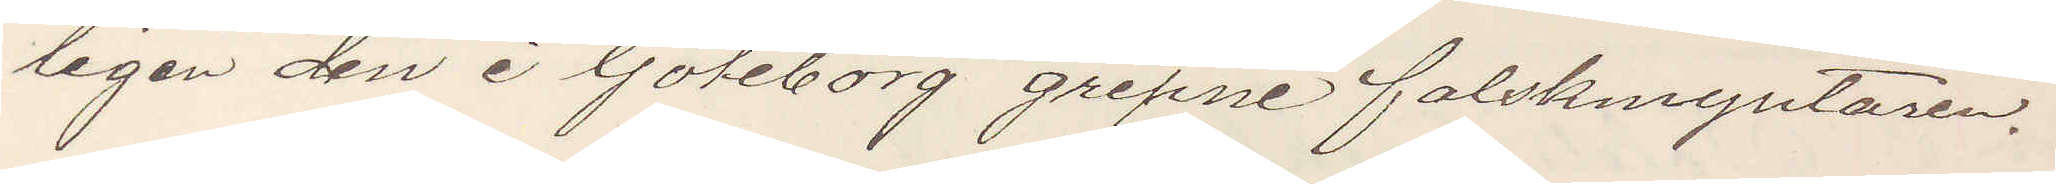ligen den i Göteborg gripne falskmyntaren.
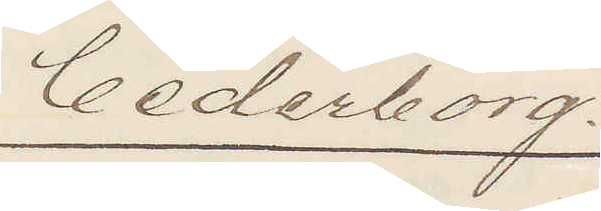Cederborg.
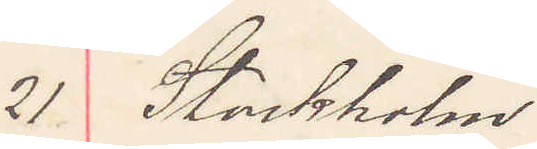21 Stockholm
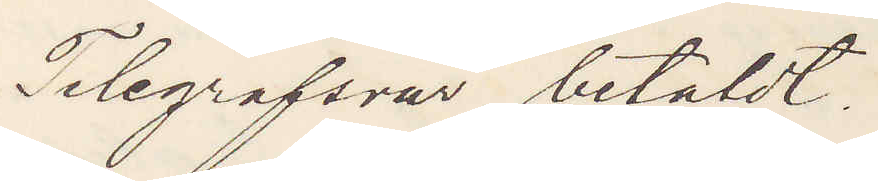Telegrafsvar betaldt
